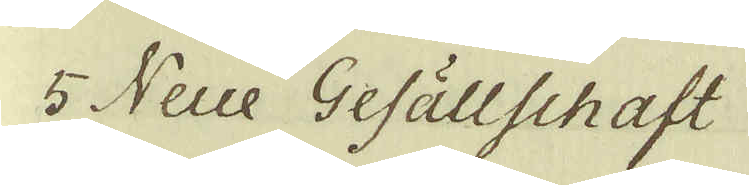5 Neue Gefällschaft
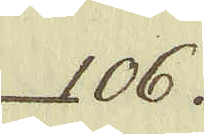106.
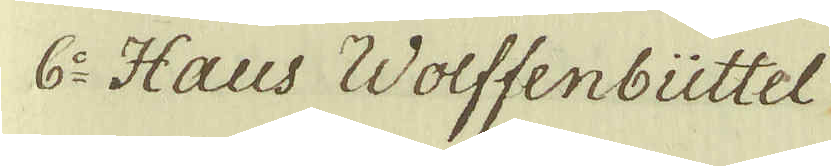6:o Haus Wolffenbüttel
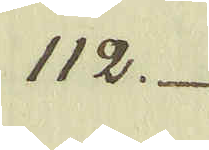112.
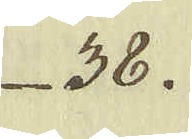38.
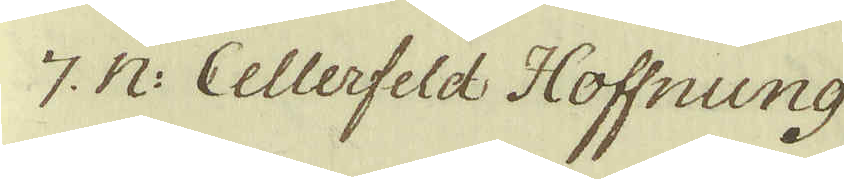7. N: Cellerfeld Hoffnung
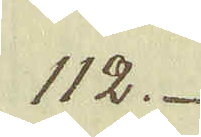112.
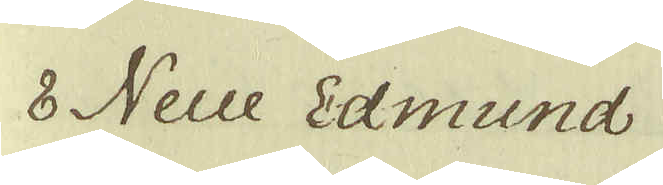8 Neue Edmund
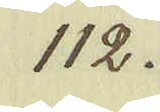112.
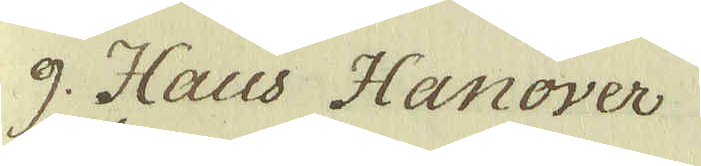9 Haus Hanover
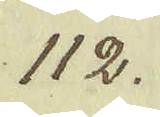112.
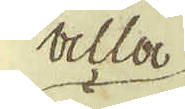alla
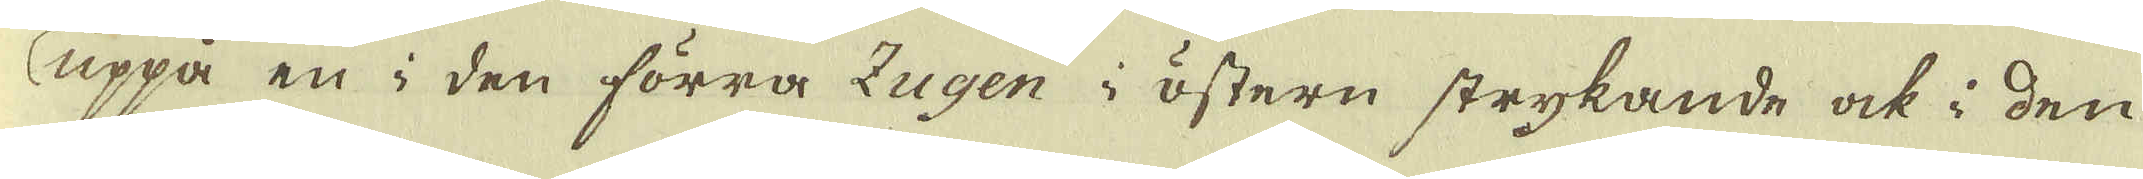uppå en i den förra Zugen i östern strykande ock i den
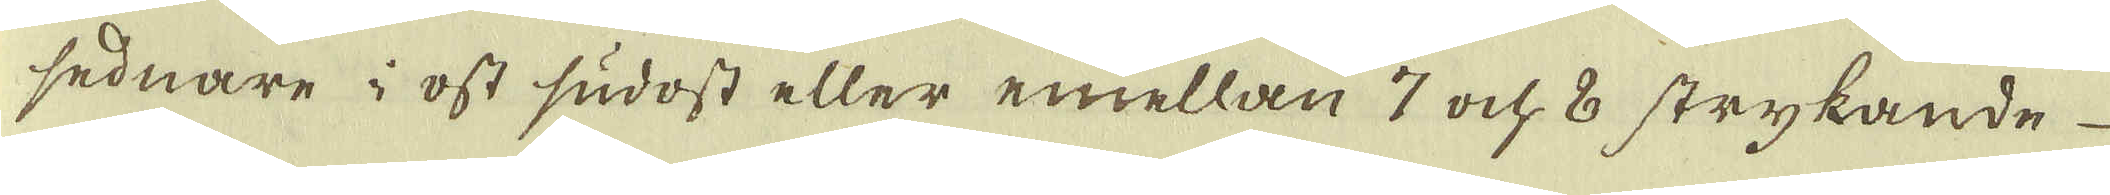sednare i ost sudost eller emellan 7 och 8 strykande
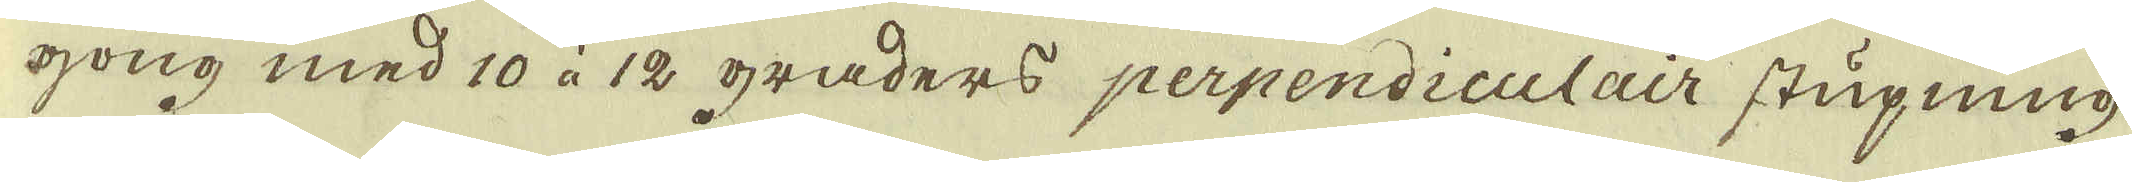gong med 10 à 12 graders perpendiculair stupning
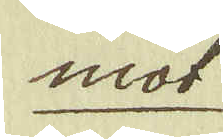mot
